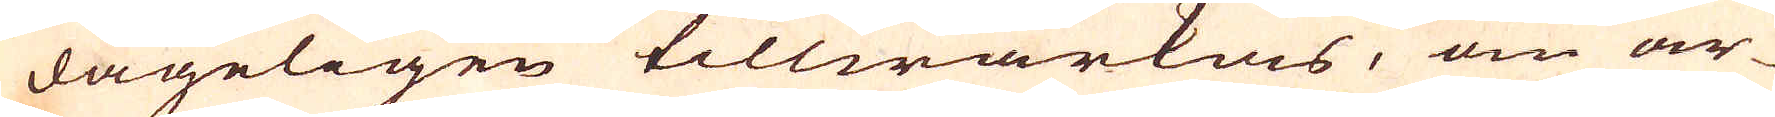dageligen tillwärkas, om ar-
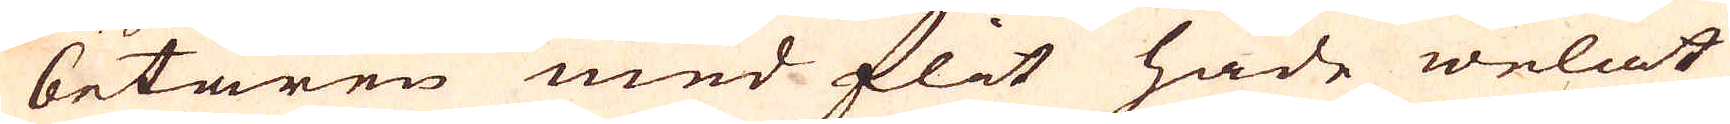betaren med flit hade welat
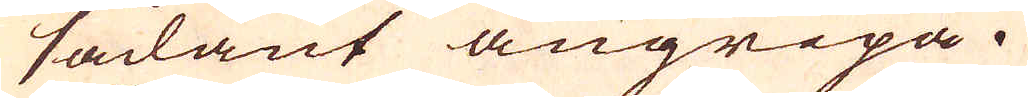sådant angripa.
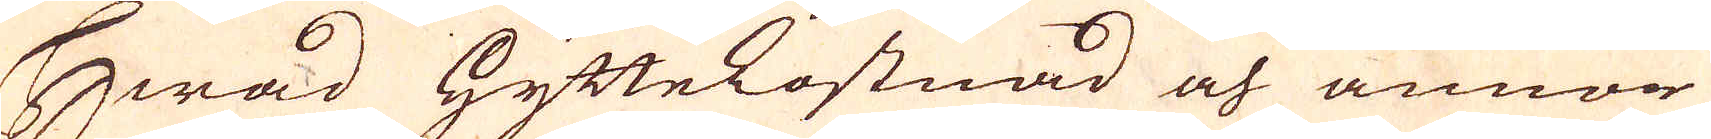Hwad Hyttekostnad och annor
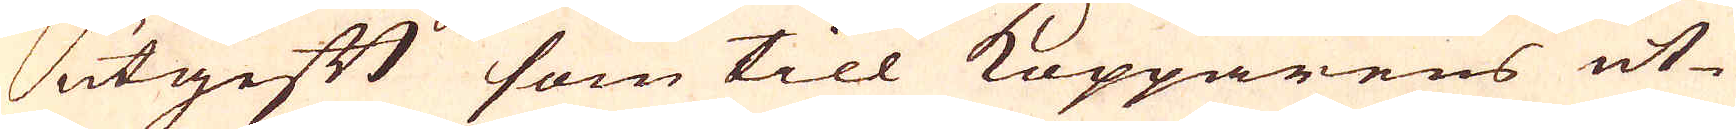utgift som till Kopparens ut-
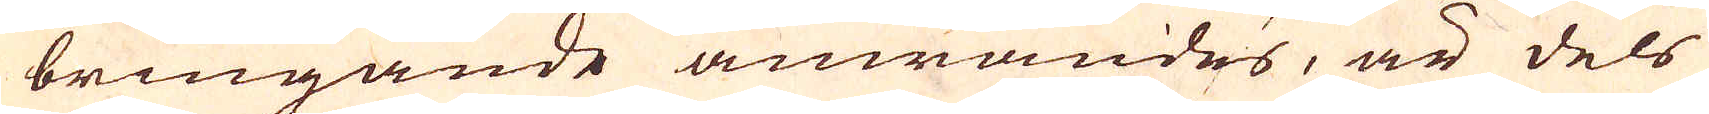bringande anwändes, är dels
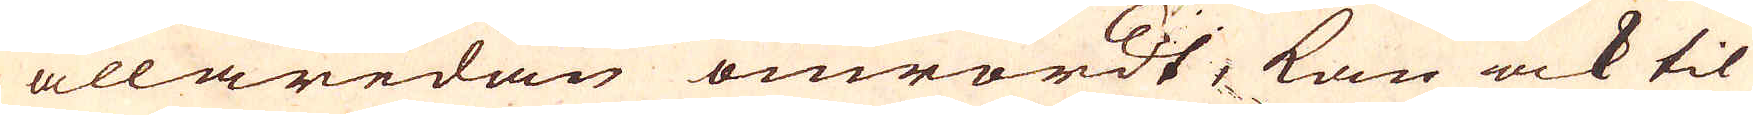allaredan omrördt, kan ock til
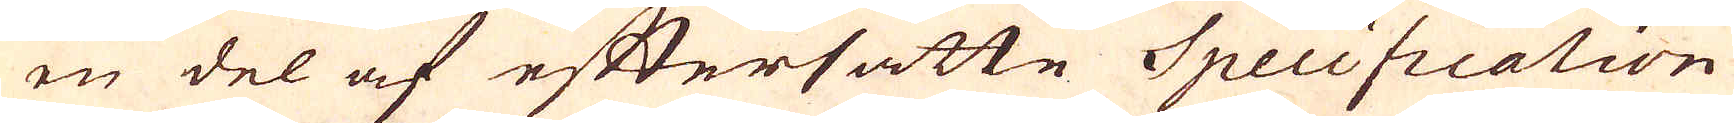en del af eftersatte Specification
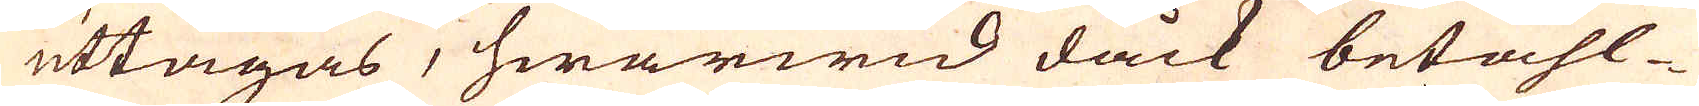uttagas, hwarwid dåck betahl-
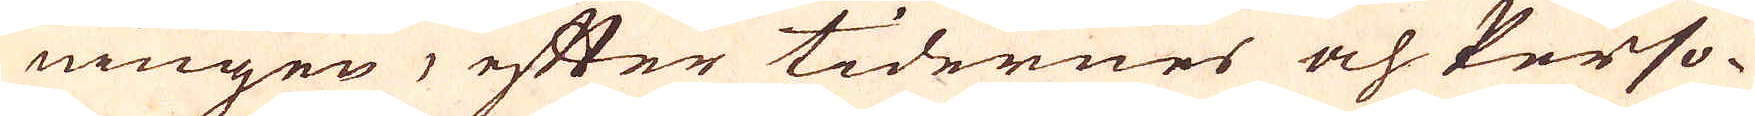ningen, efter tidernes och Perso-
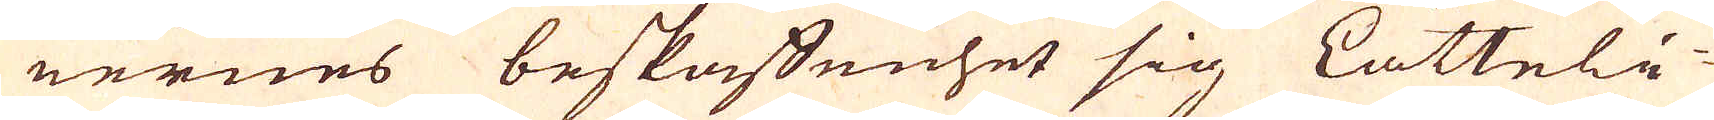nernes beskaffenhet sig Lätteli-
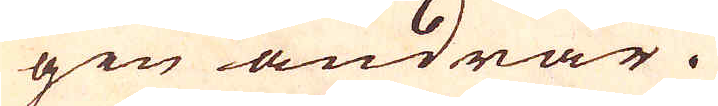gen ändrar.
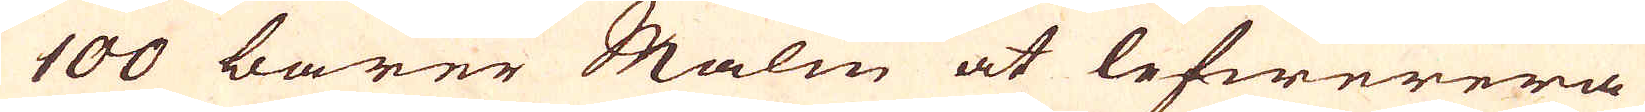100 barer Malm at lefwerera
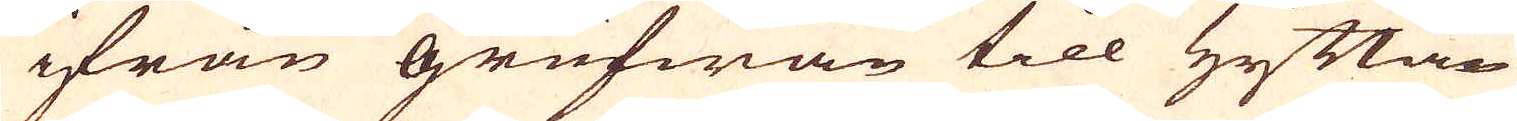ifrån grufwan till Hyttan
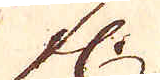fl.
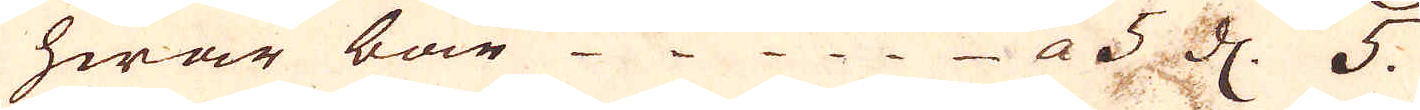hwar bar a 5 d. 5.
